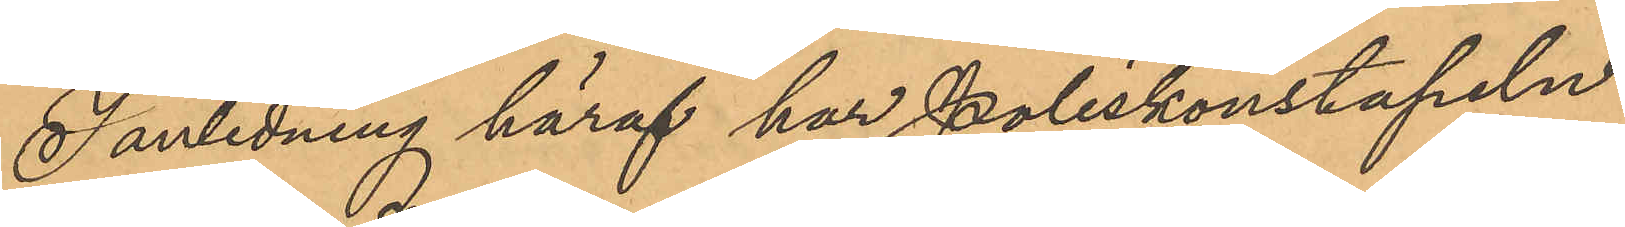I anledning häraf har Poliskonstapeln
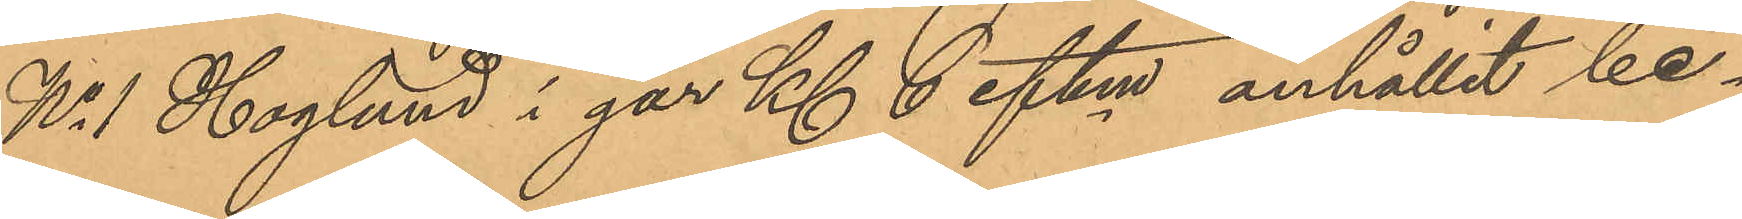No 1 Haglund i går Kl 6 eftm anhållit be¬
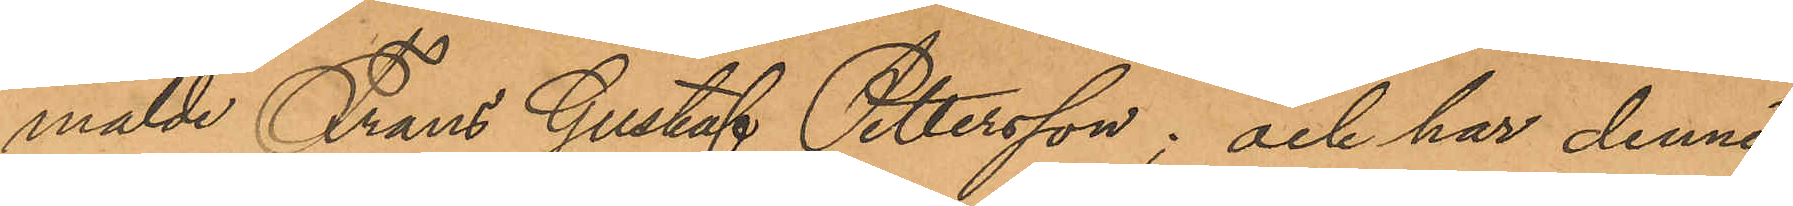mälde Frans Gustaf Pettersson, och har denne,
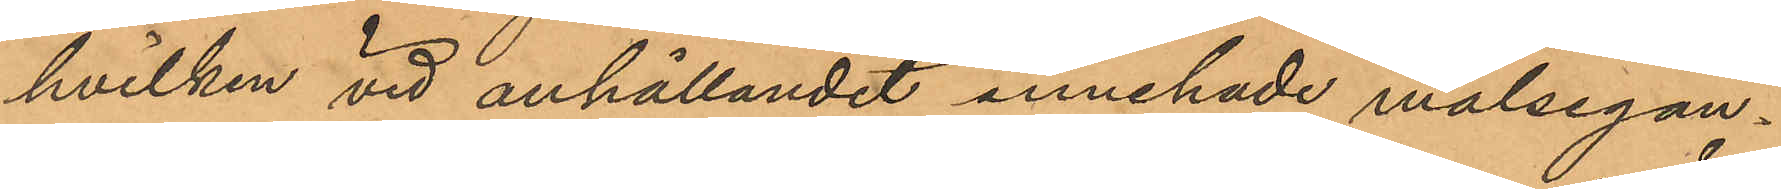hvilken vid anhållandet innehade målsegan¬
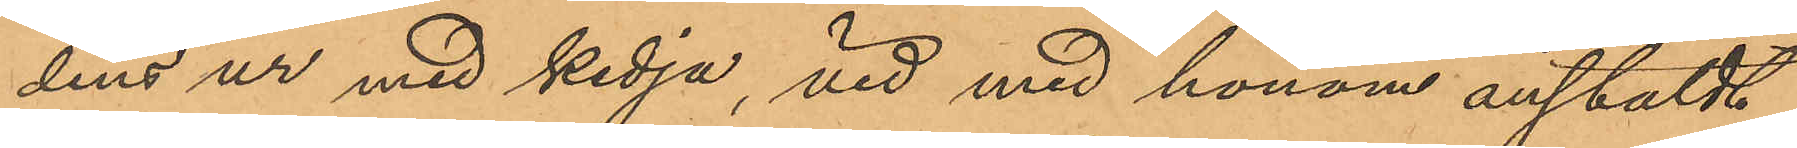dens ur med kedja, vid med honom anstäldt
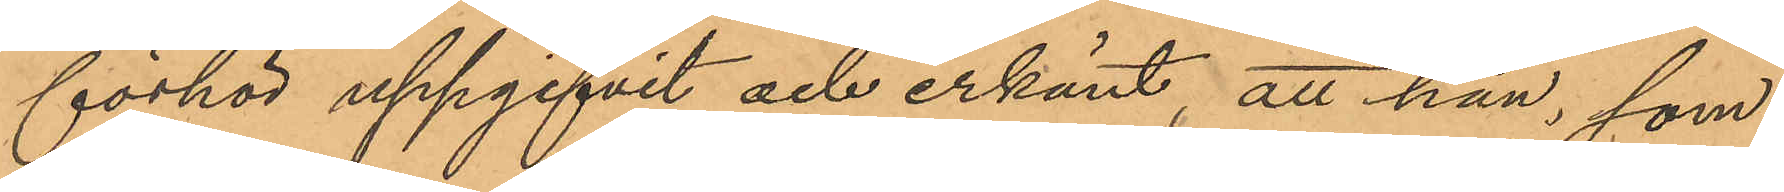förhör uppgifvit och erkänt, att han, som
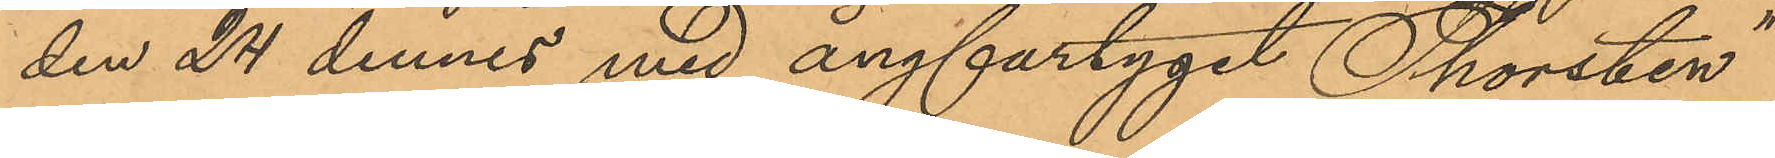den 24 dennes med ångfartyget "Thorsten"
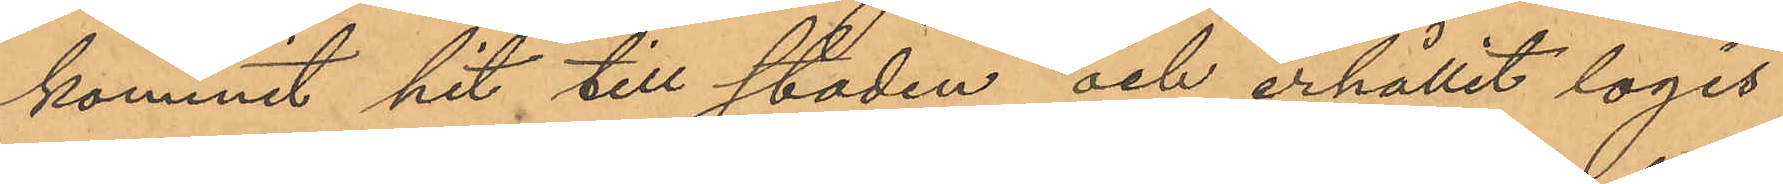kommit hit till staden och erhållit logis
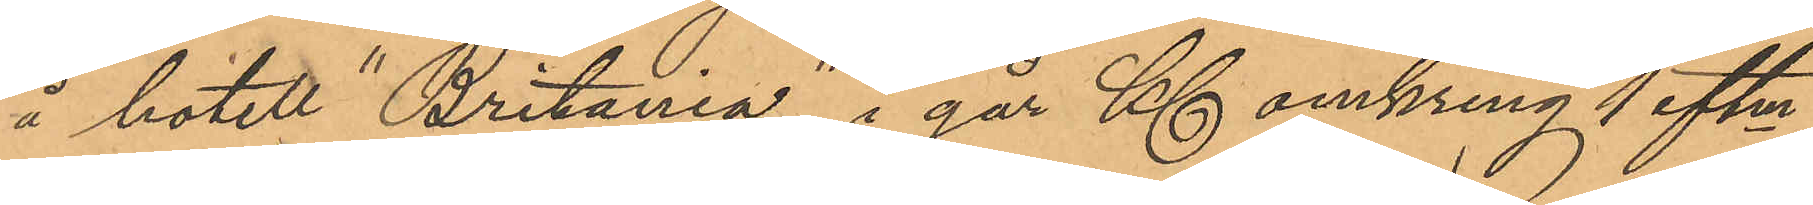å hotelt "Britania" i går Kl omkring 1 eftm,
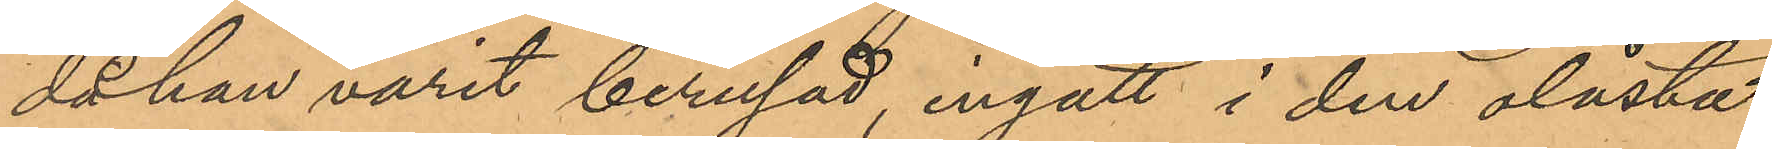då han varit berusad, ingått i den olåsta
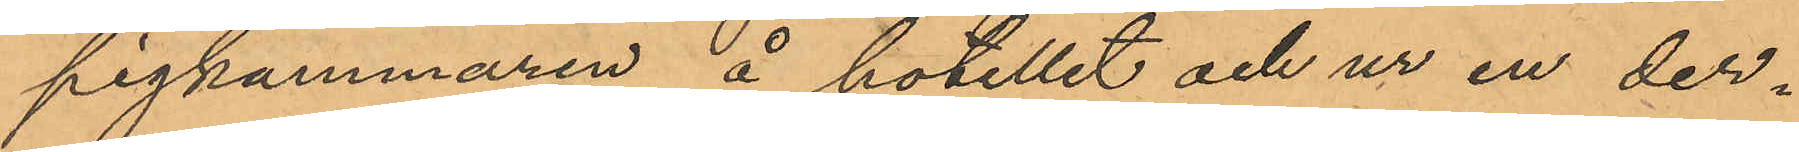pigkammaren å hotellet och ur en der¬
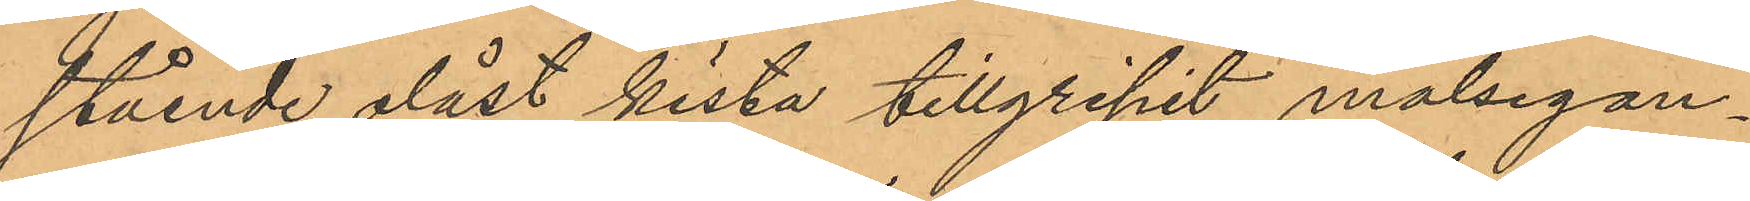stående olåst kista tillgripit målsegan¬
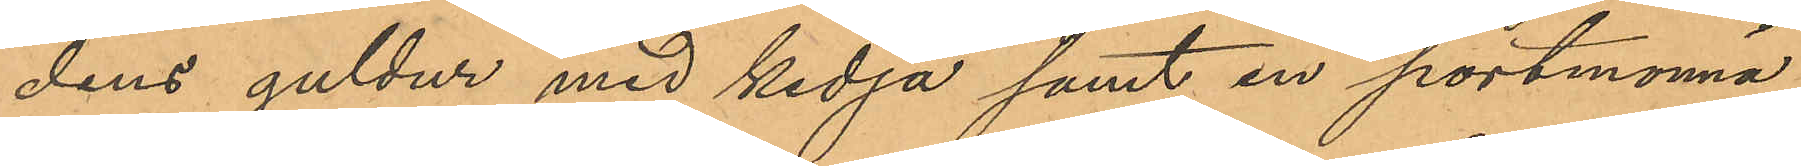dens guldur med kedja samt en portmonnä,
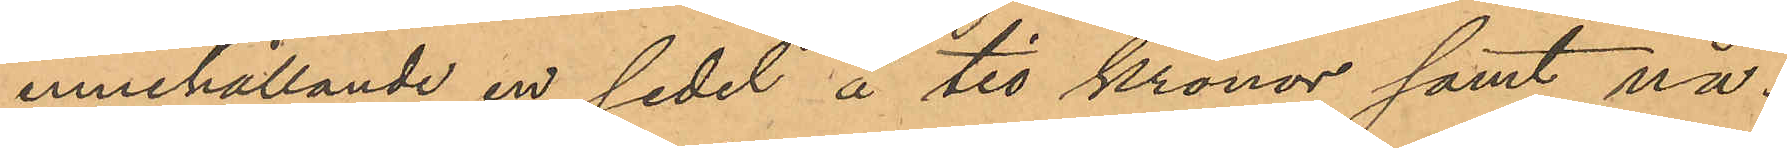innehållande en sedel å tio kronor samt nå¬
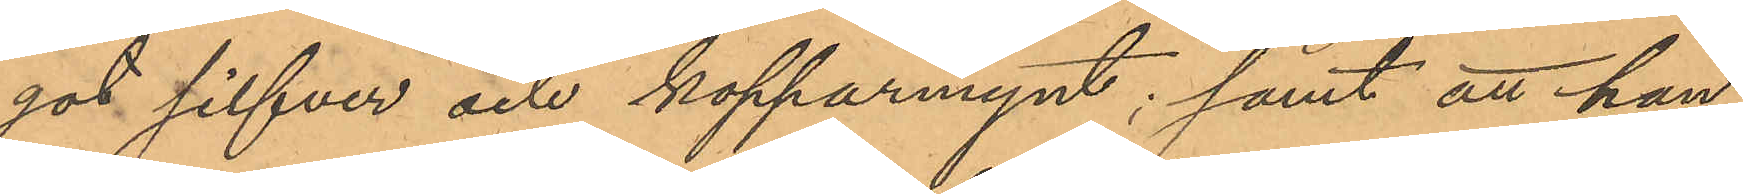got silfver och kopparmynt; samt att han
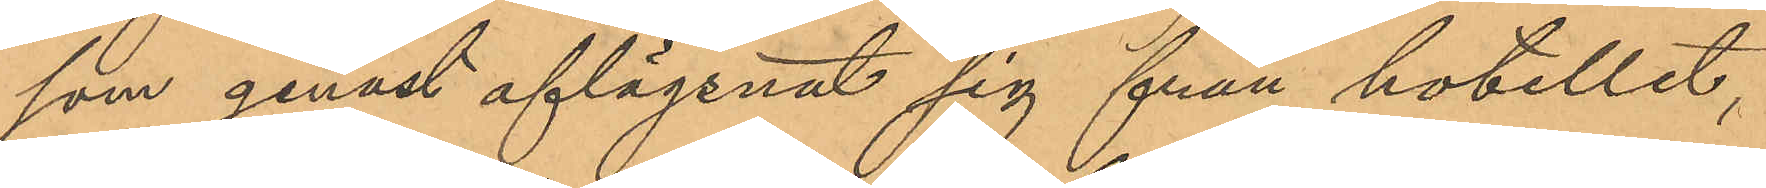som genast aflägsnat sig från hotellet,
